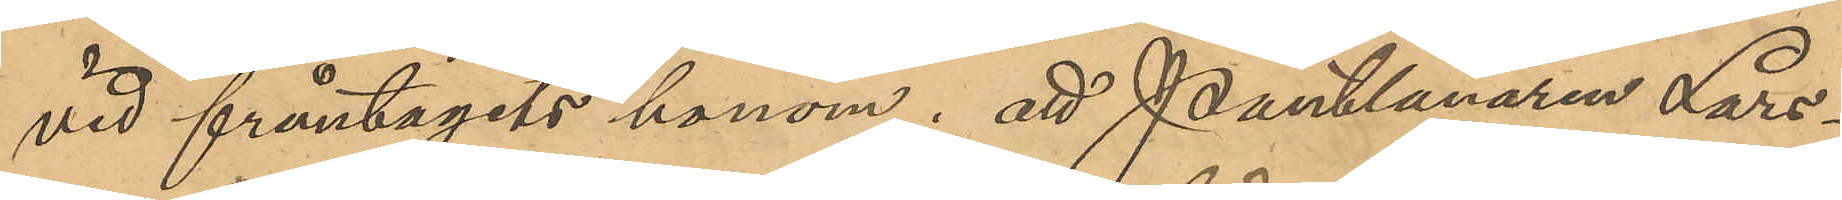vid fråntagits honom; att Pantlånaren Lars¬
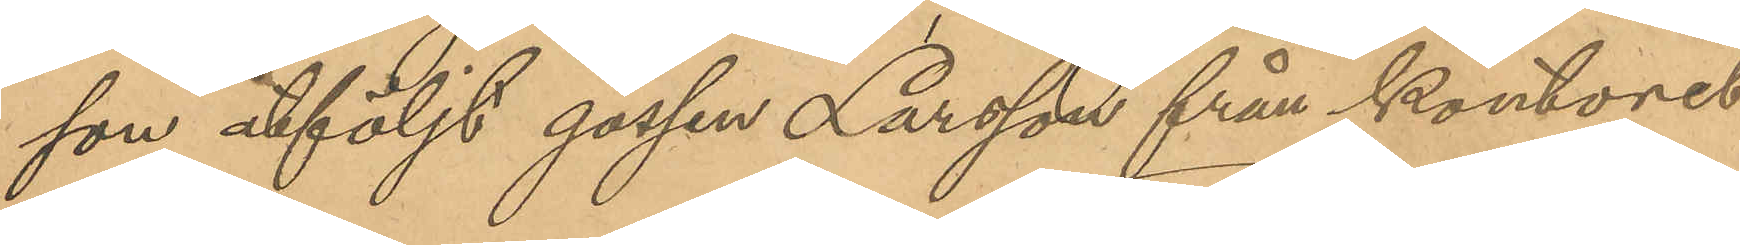son åtföljd af gossen Larsson från kontoret
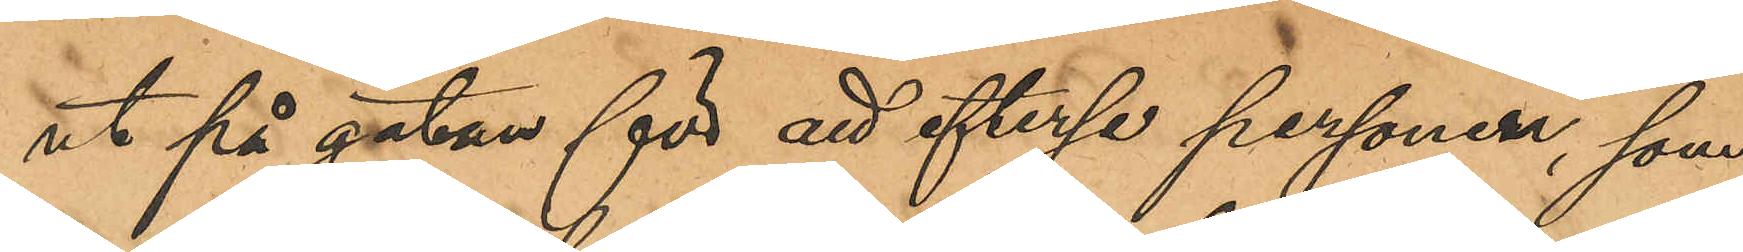ut på gatan för att efterse personen, som
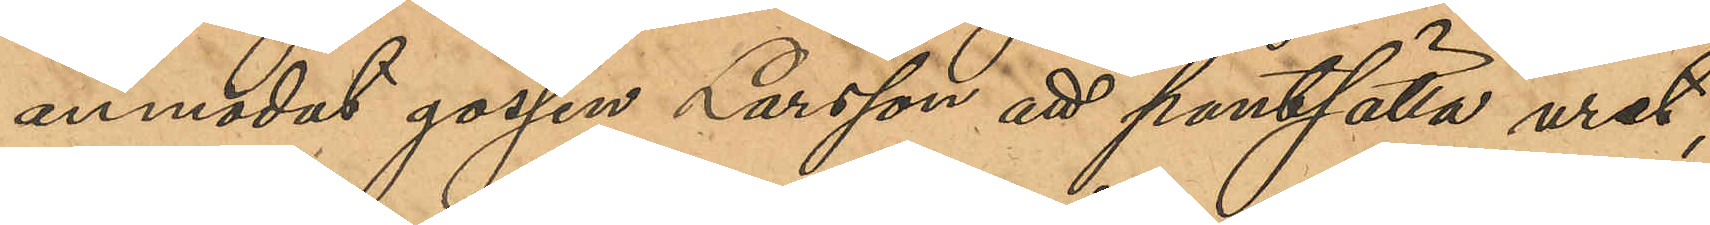anmodat gossen Larsson att pantsätta uret,
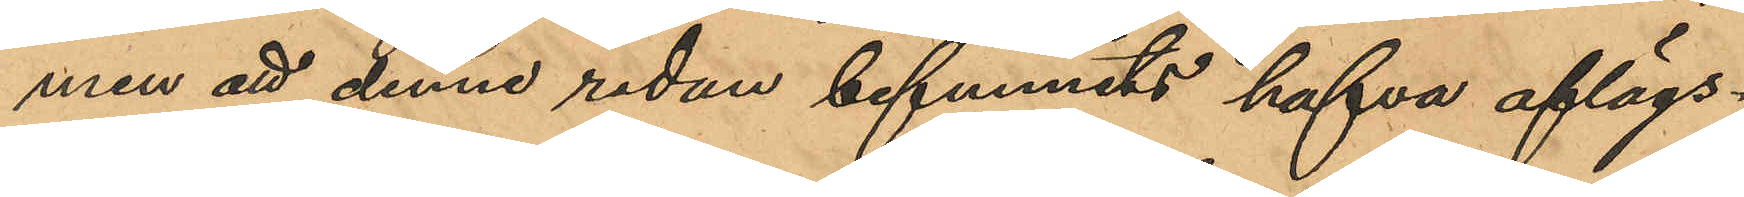men att denne redan befunnits hafva aflägs¬
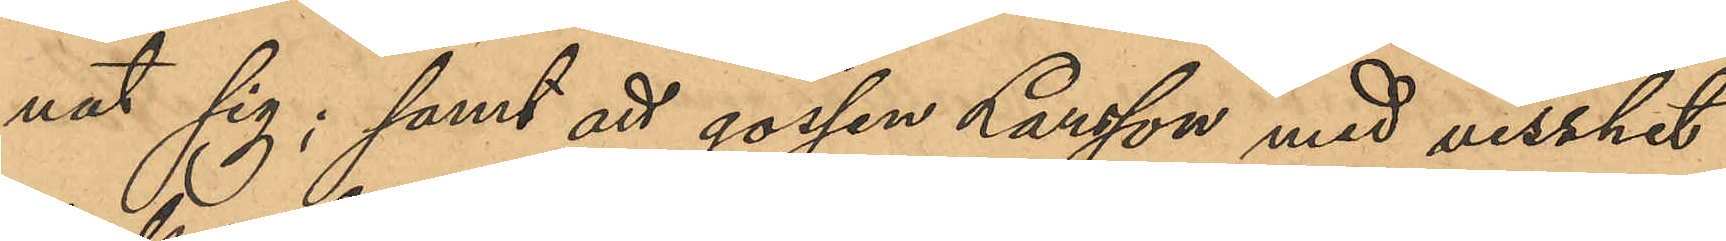nat sig; samt att gossen Larsson med visshet
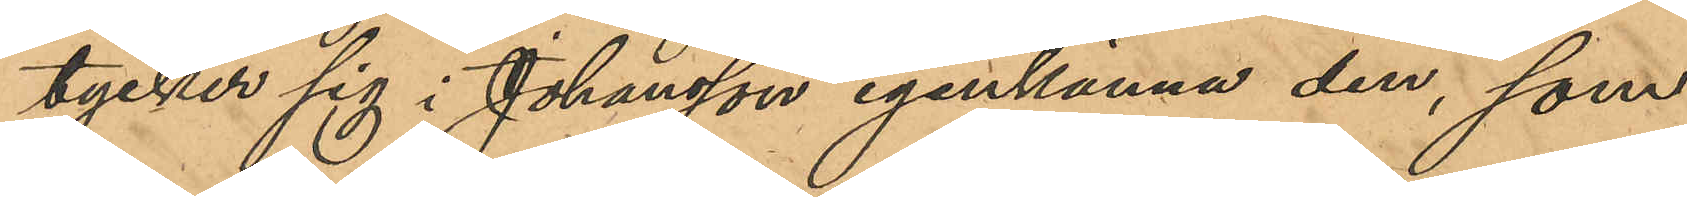tycker sig i Johansson igenkänna den, som
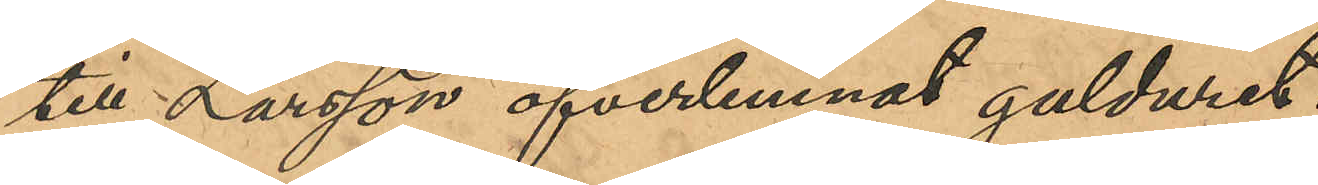till Larsson öfverlemnat gulduret.
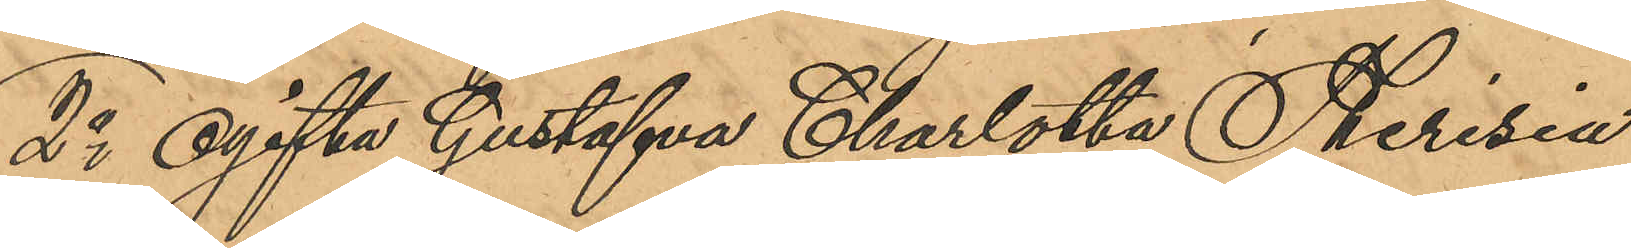2o Ogifta Gustafva Charlotta Theresia
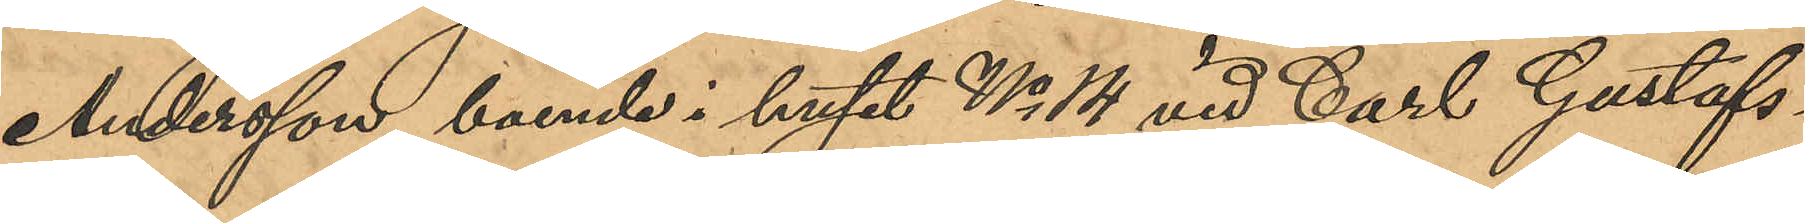Andersson, boende i huset No 14 vid Carl Gustafs¬
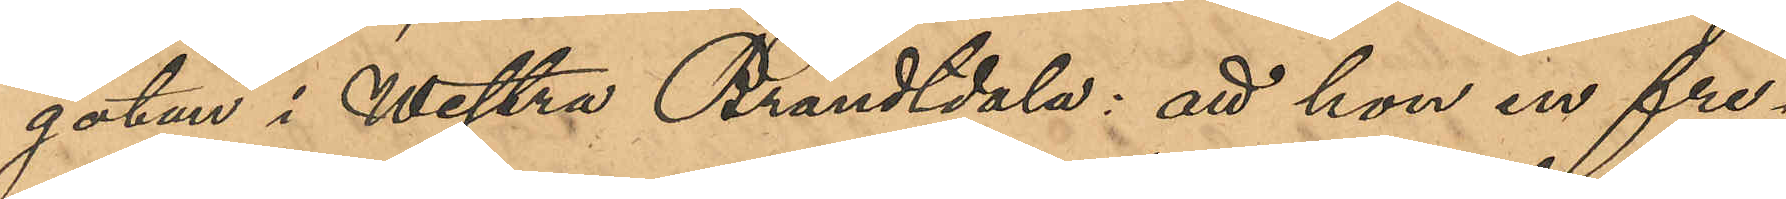gatan i Westra Brandtdala: att hon en fre¬
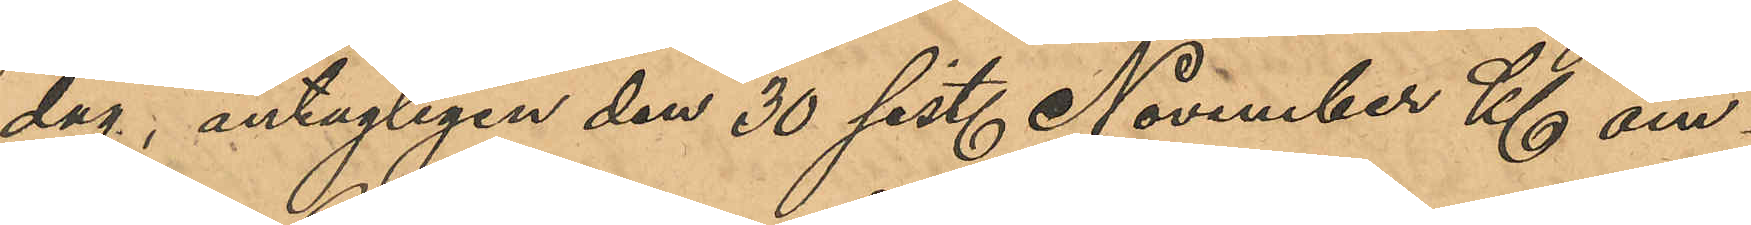dag, antagligen den 30 sist. November Kl om¬
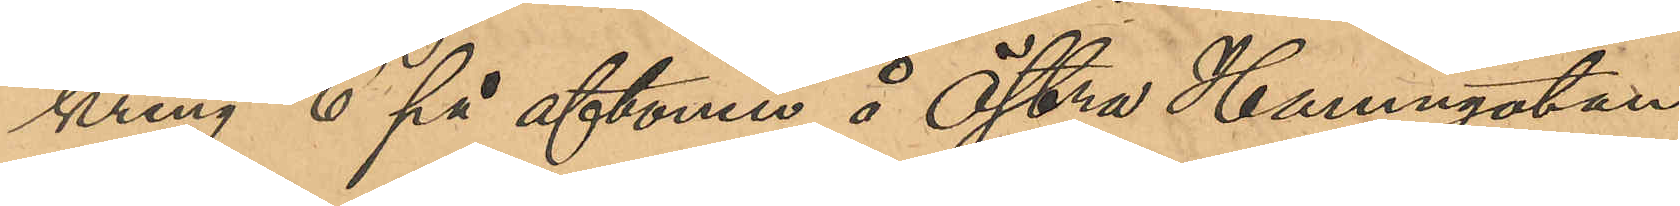kring 6 på aftonen å Östra Hamngatan
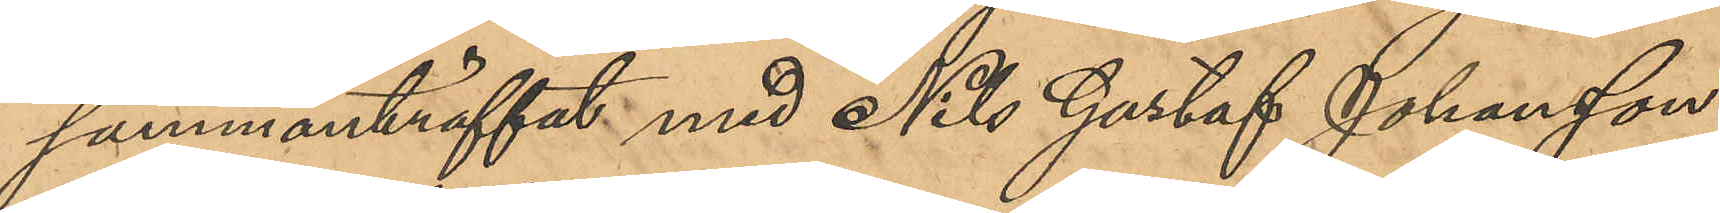sammanträffat med Nils Gustaf Johansson
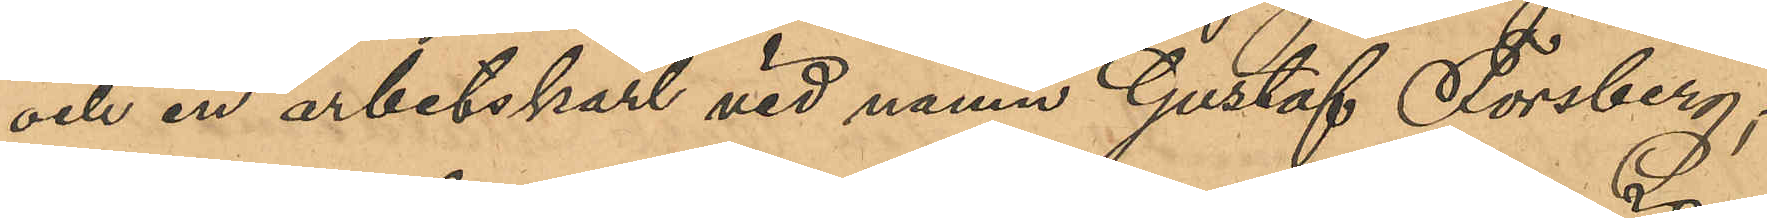och en arbetskarl vid namn Gustaf Forsberg;
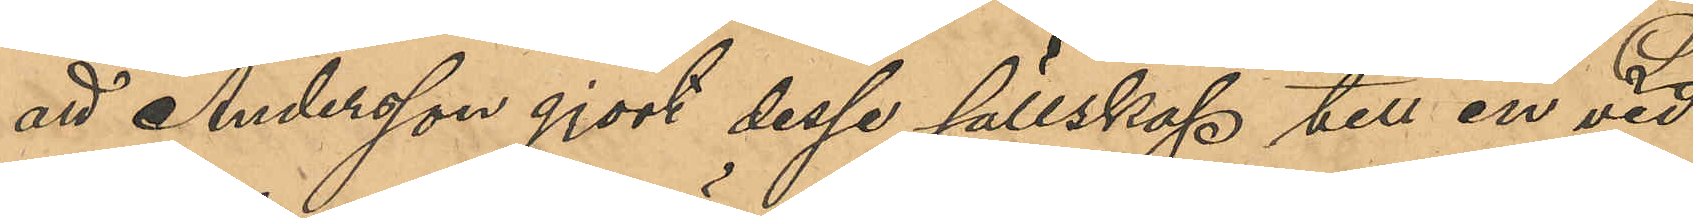att Andersson gjort dessa sällskap till en vid
